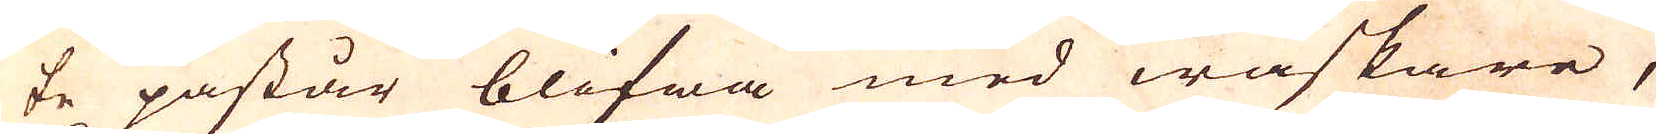te påstår blifwa med waskare,
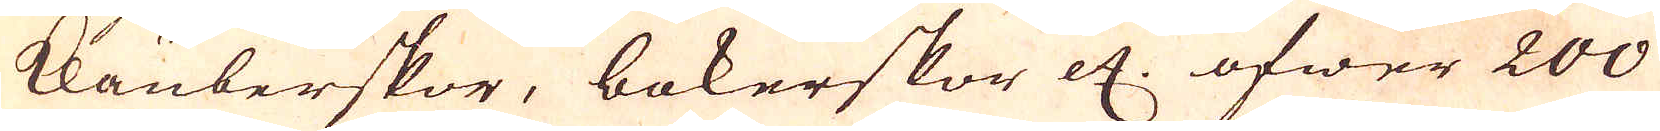klauberskor, bokerskor etc. öfwer 200
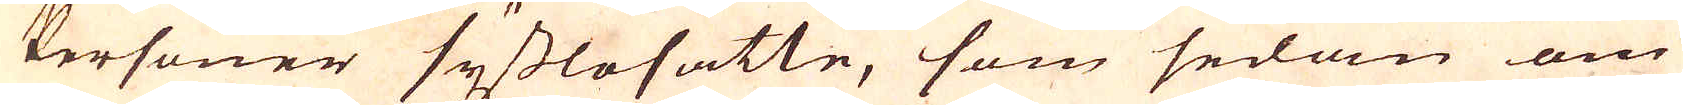Personer sysslosatte, som sedan om
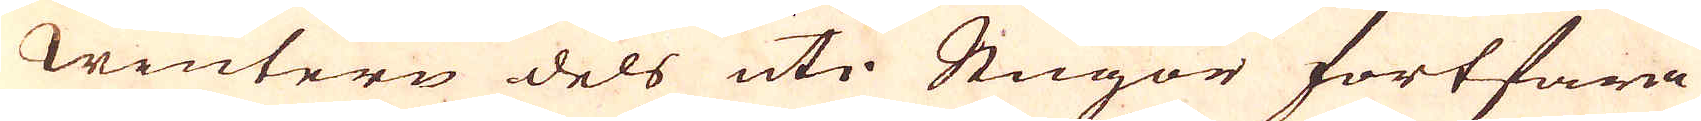wintern dels uti Stugor fortfara
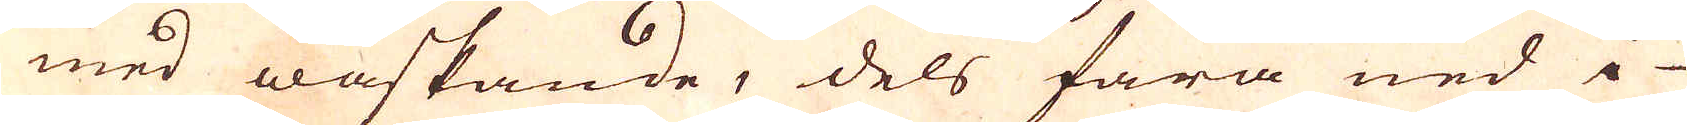med waskande, dels fara ned i
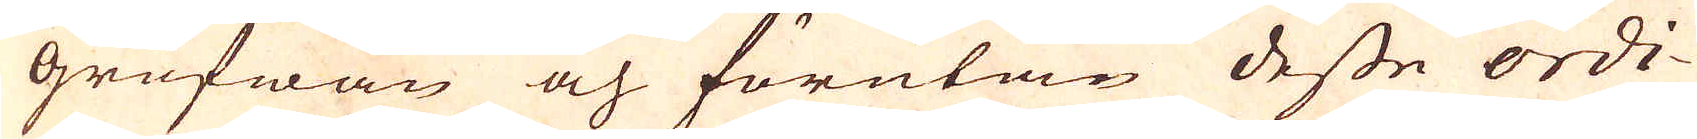grufwan och förutan desse ordi-
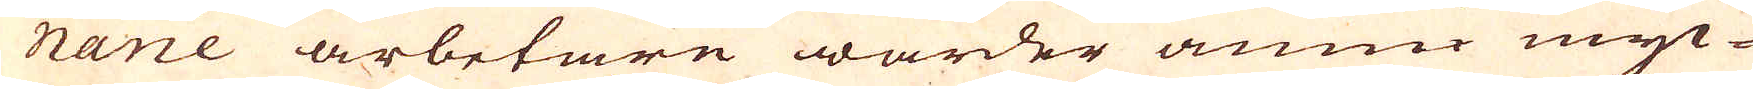narie arbetare warder ännu myc-
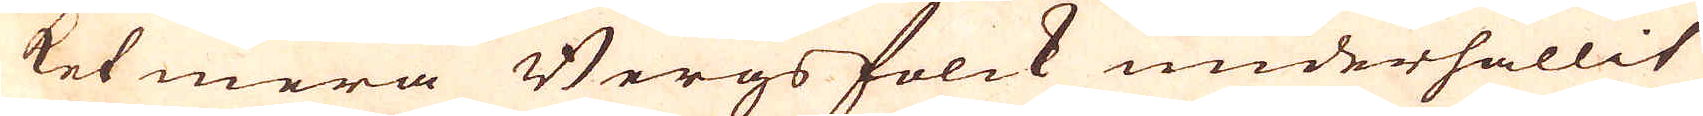ket mera Bergsfolck underhållit
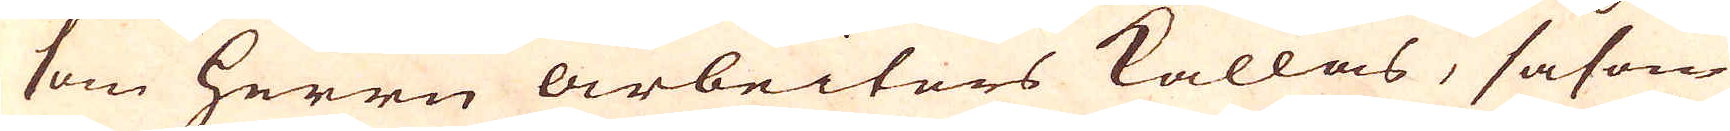som herrn arbeiters kallas, såsom
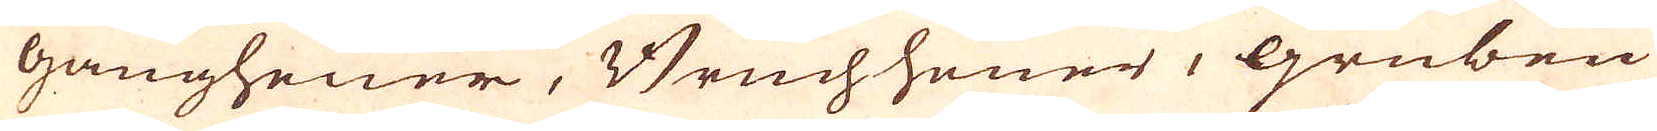gangheuer, Bruchheuer, Gruben
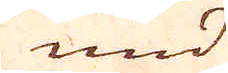und
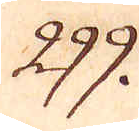299.
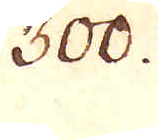300.
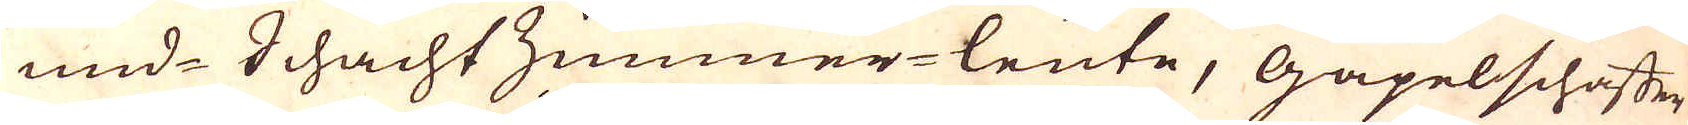mid-Schachtzimmer-leute, Gäpelschaffer,
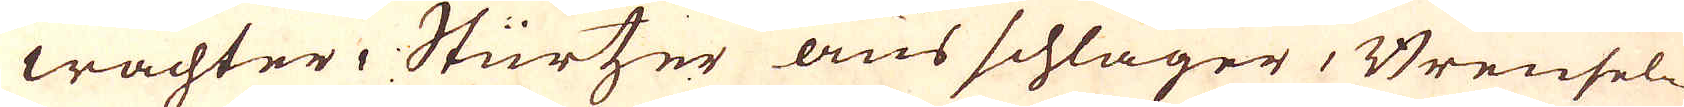wächter, Stürtzer aus schläger, Brensel-
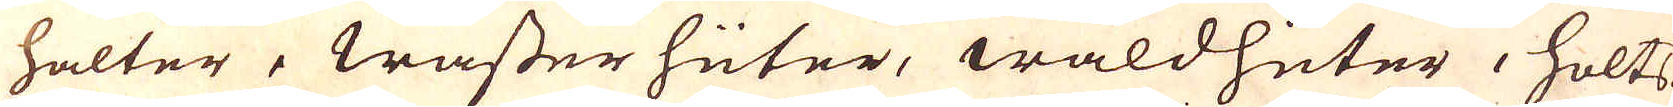halter, Wasser hüter, waldhüter, holts-
